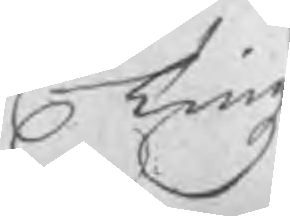Tingz
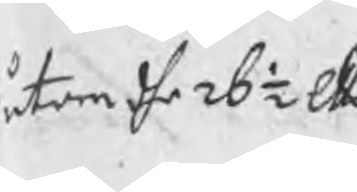utom dhe 26½ Skl
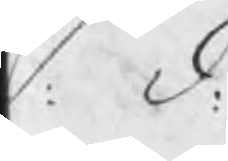S. d.
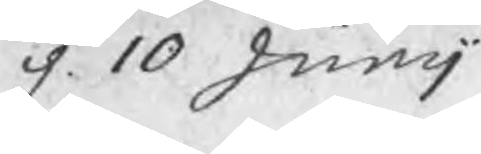d. 10 Junij
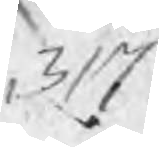317
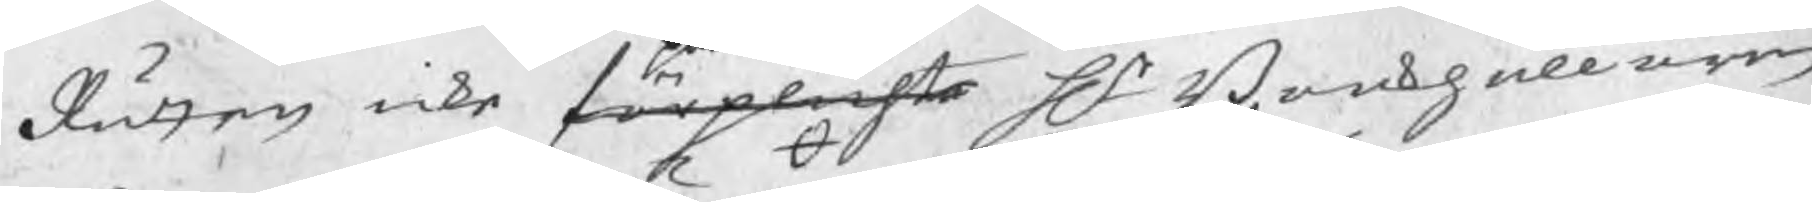Rätten icke förplichta Hr Bookhållaren
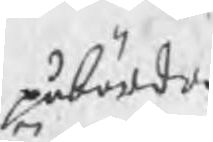påbörda
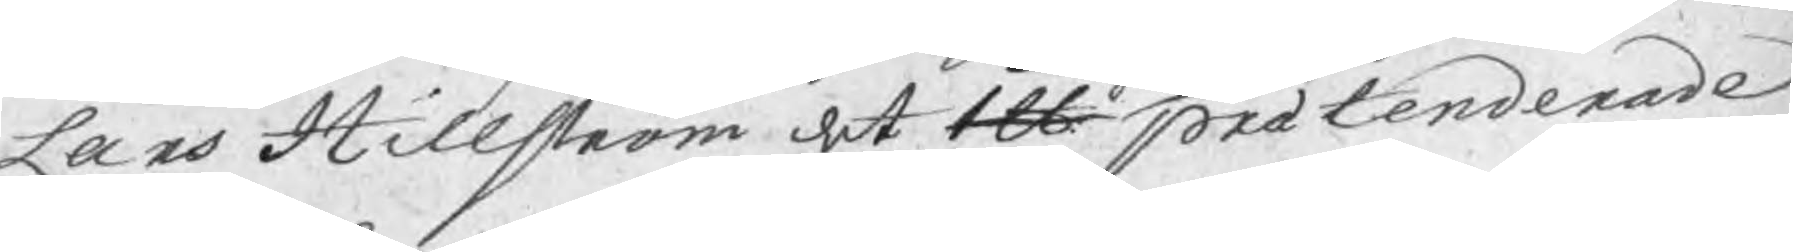Lars Hillström det 1 lb prætenderade
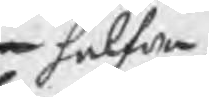halfva
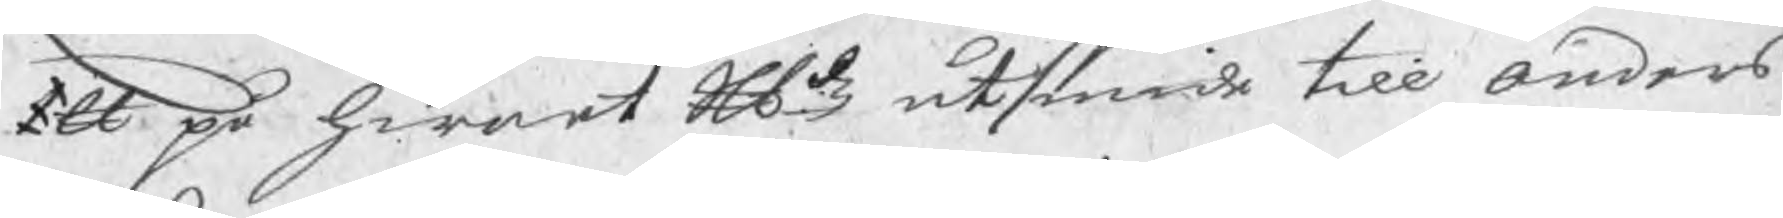1 ℔ på hwart Skldz utsmide till Anders
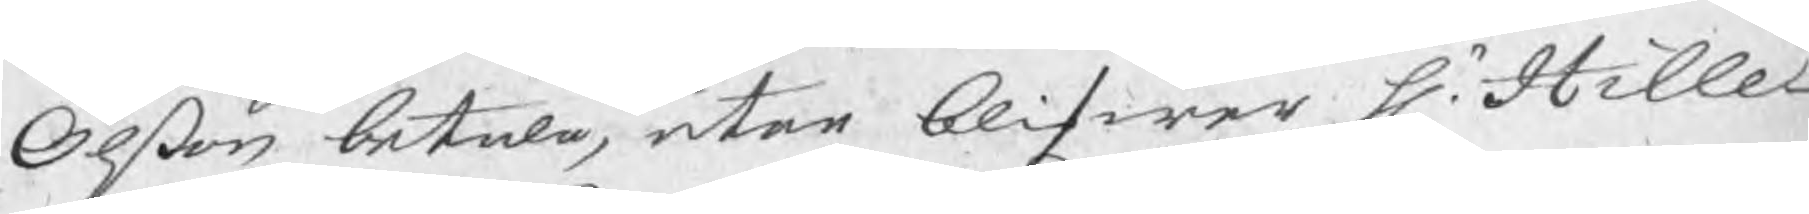Olßon betala, utan blifwa Hr. Hille-
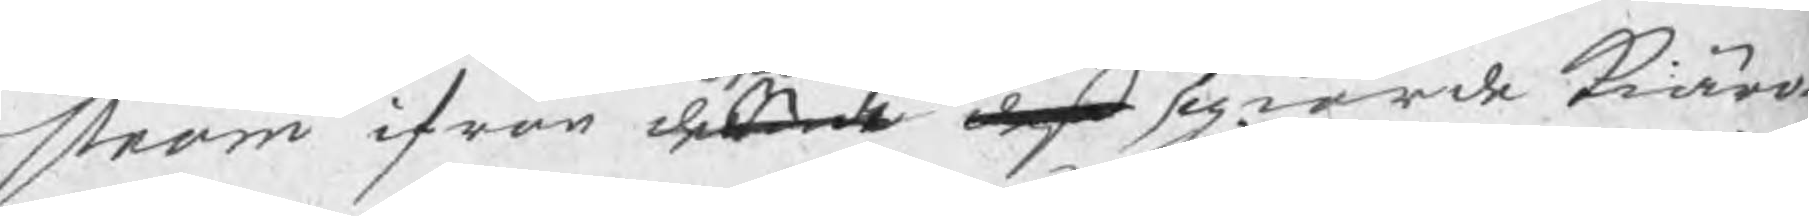ström ifrån de d giorde kiäro-
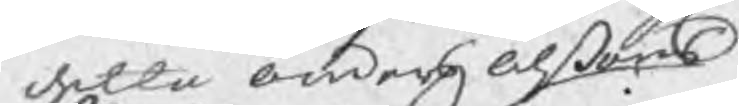detta Anders Olßons
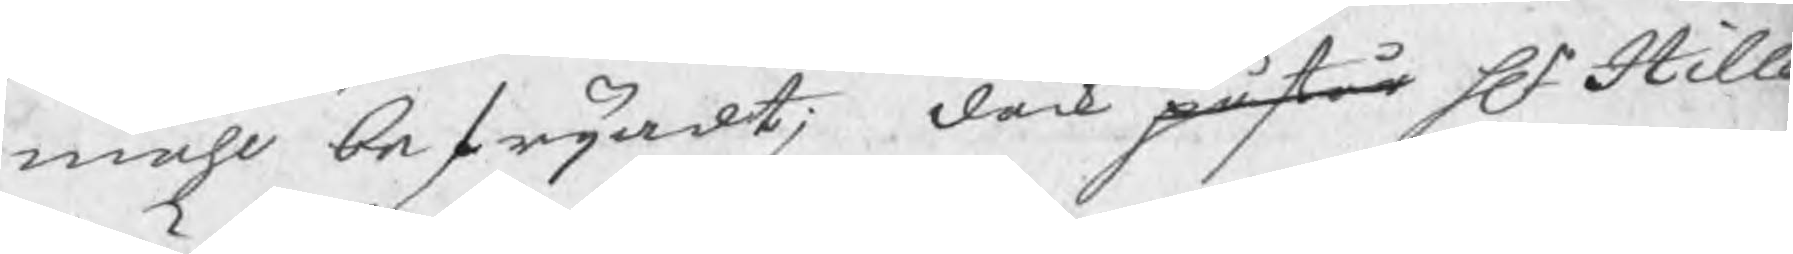måhl befrijadt; dåck påstår Hr Hille  
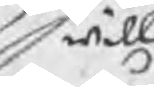will
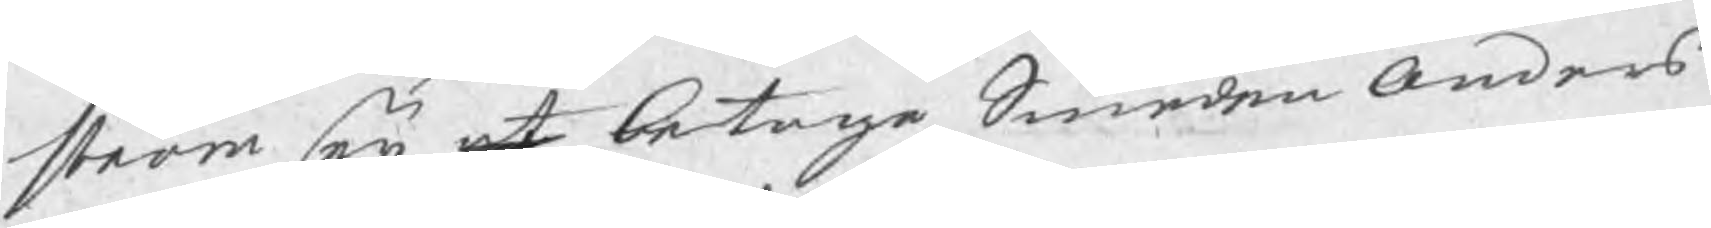ström eij at betaga Smeden Anders
